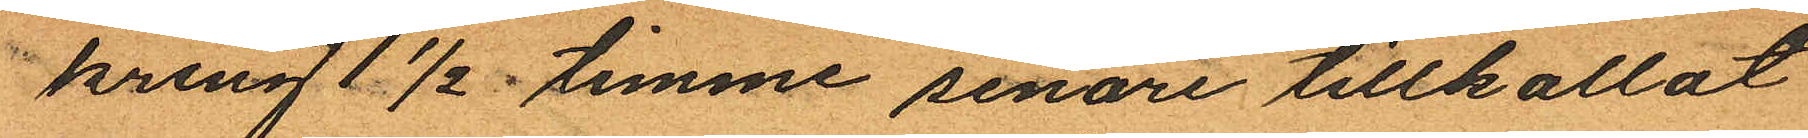kring 1½ timme senare tillkallat
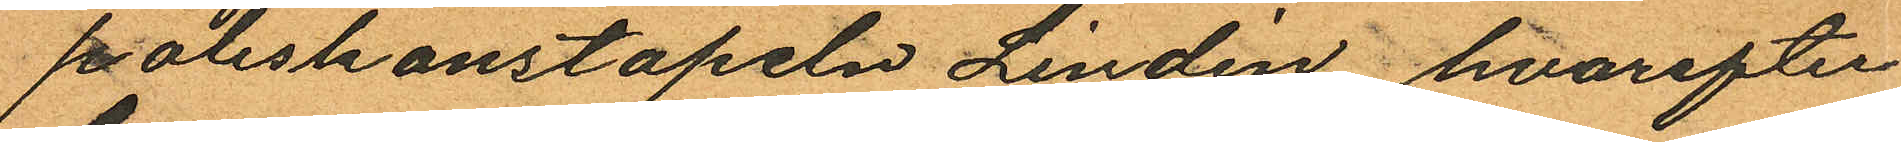poliskonstapeln Lindén, hvarefter
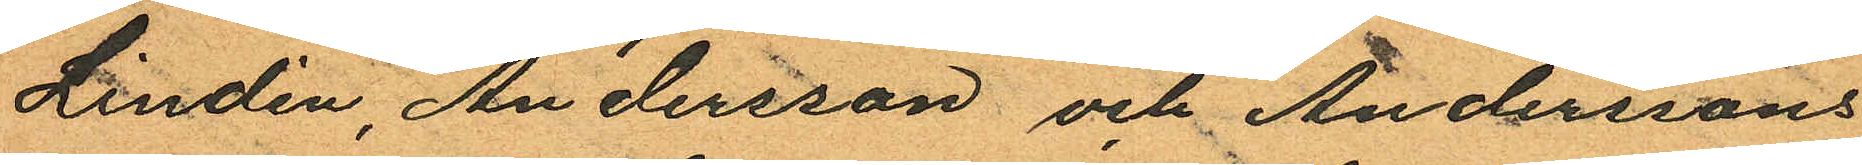Lindén, Andersson och Anderssons
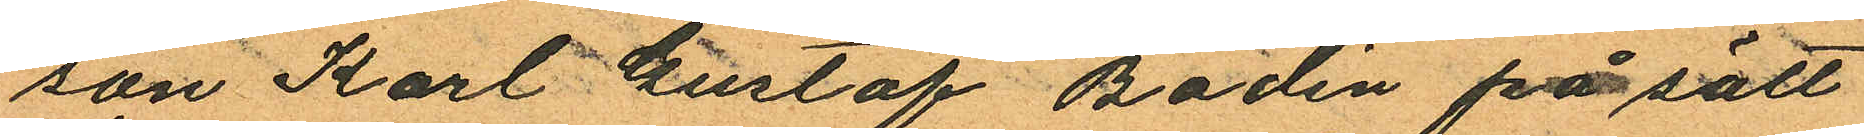son Karl Gustaf Bodén på sätt
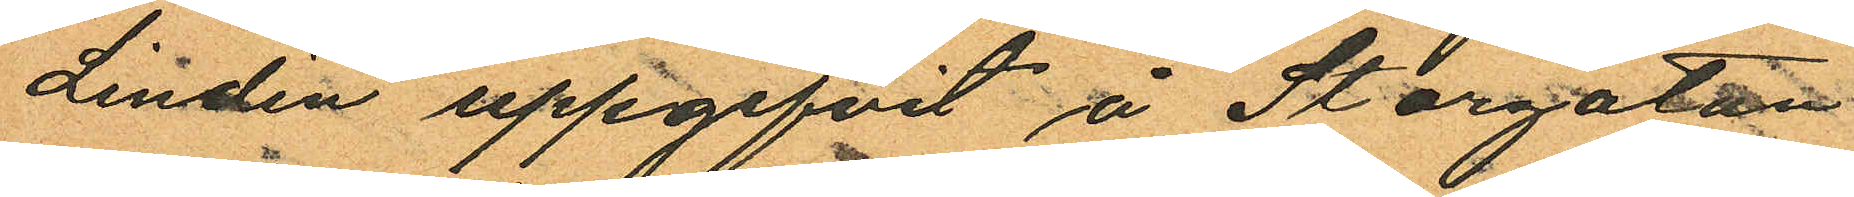Lindén uppgifvit å Storgatan
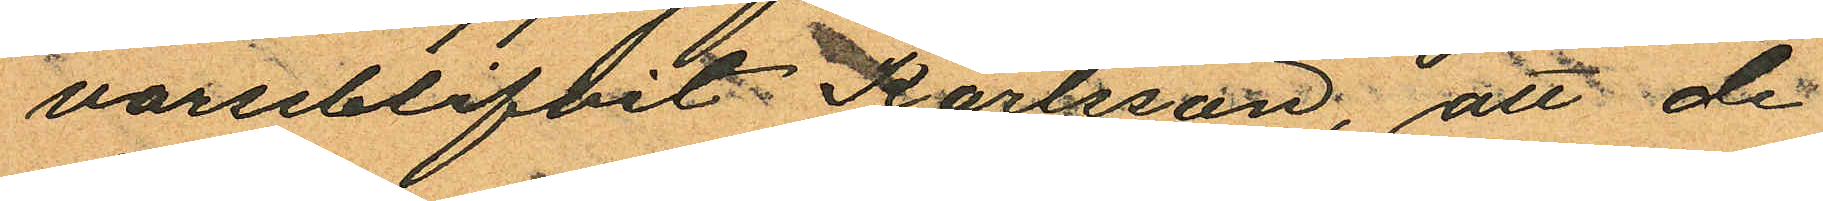varseblifvit Karlsson; att de
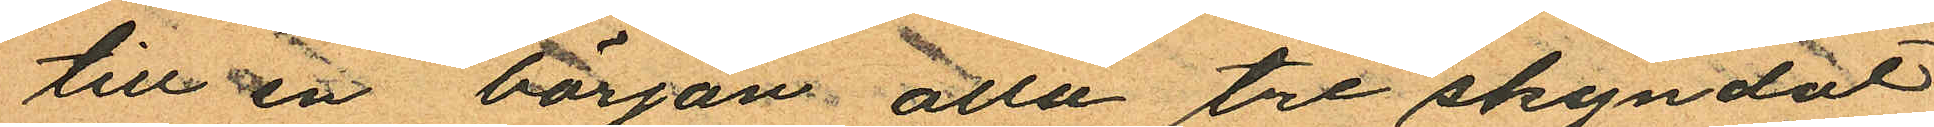till en början alla tre skyndat
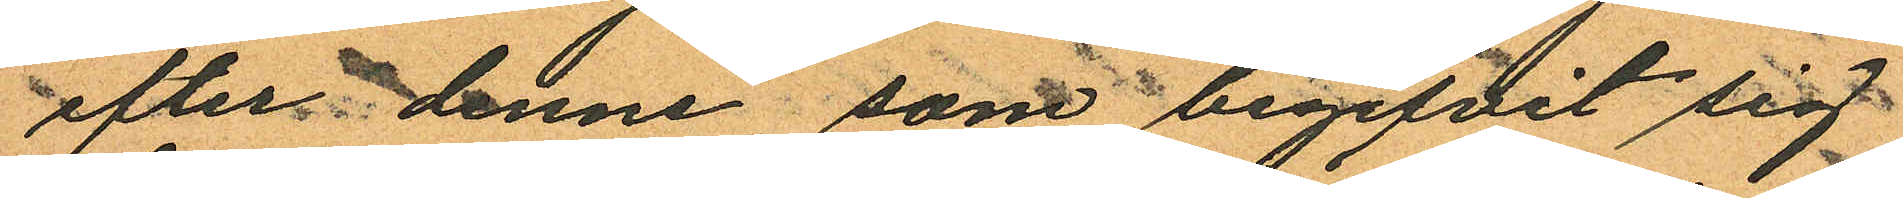efter denne som begifvit sig
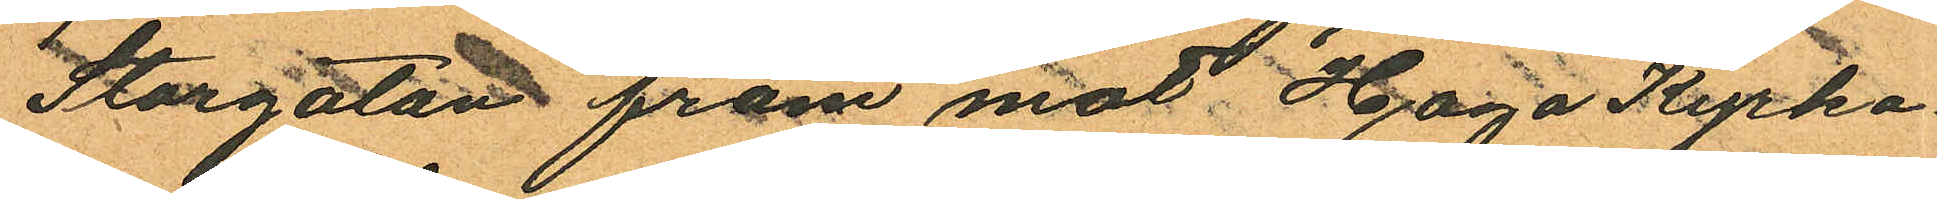Storgatan fram mot Haga Kyrko¬
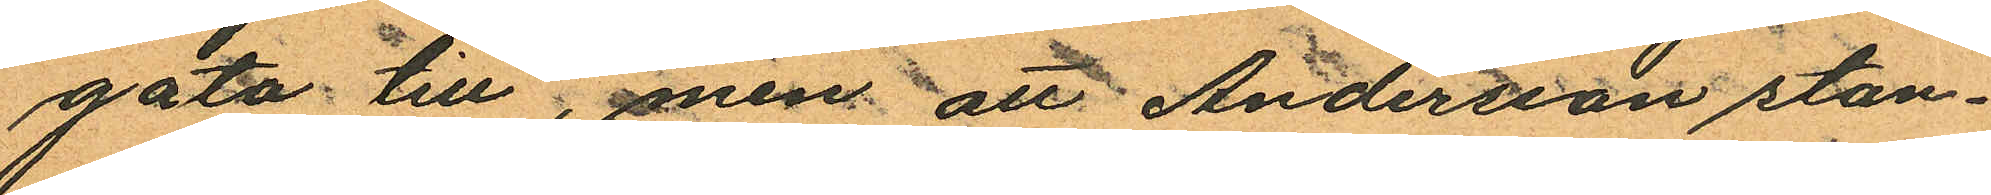gata till, men att Andersson stan¬
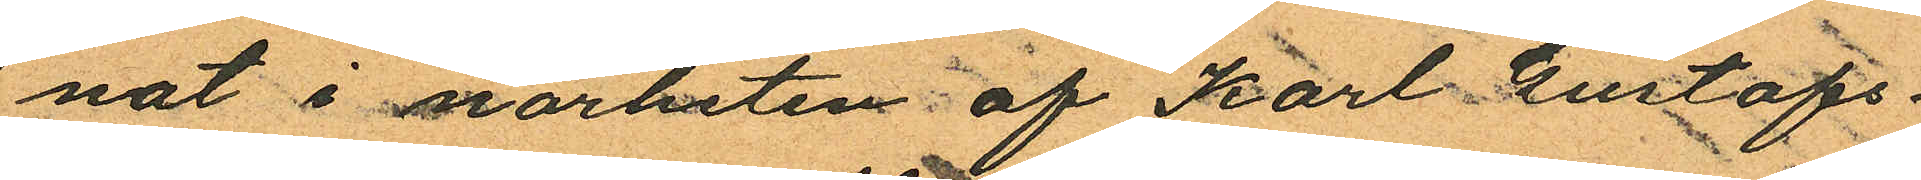nat i närheten af Karl Gustafs¬
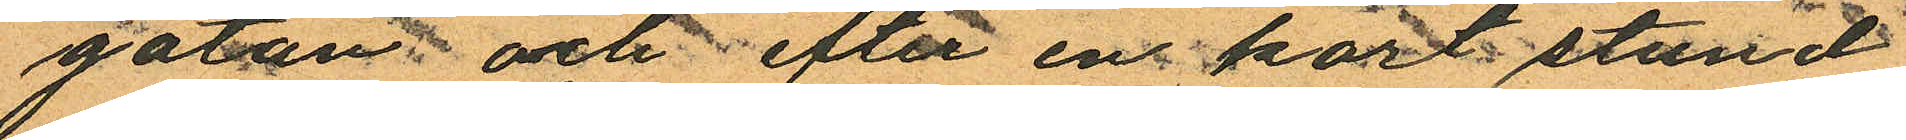gatan och efter en kort stund
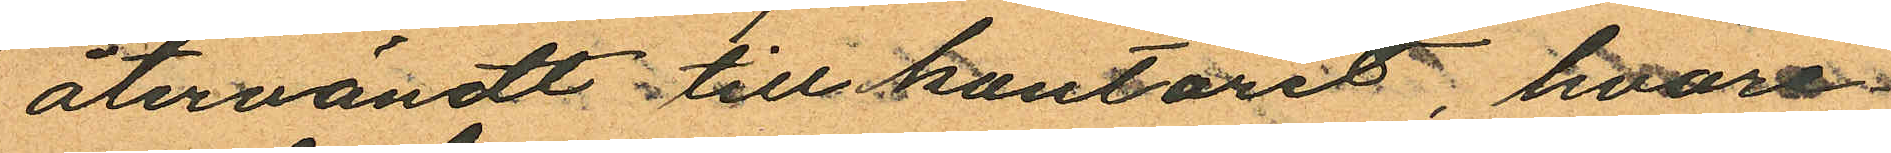återvändt till kontoret, hvare¬
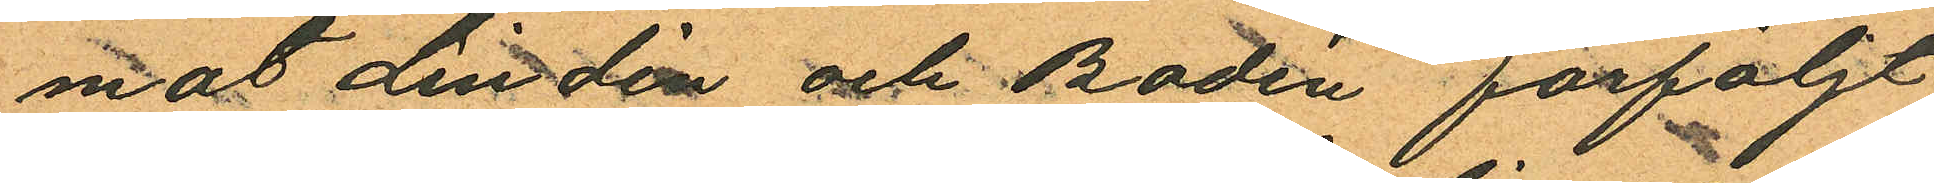mot Lindén och Bodén förföljt
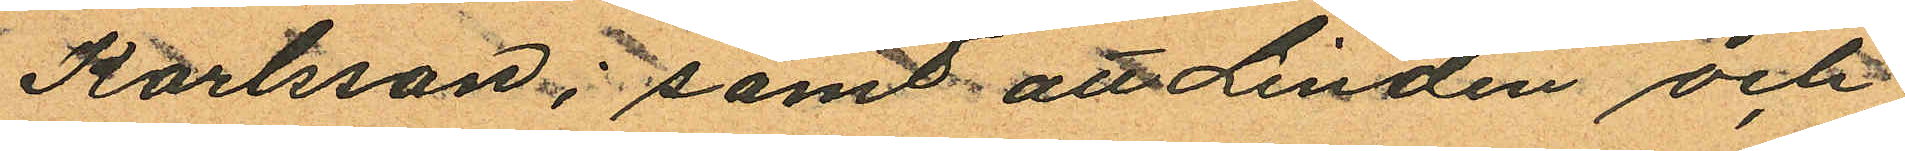Karlsson; samt att Lindén och
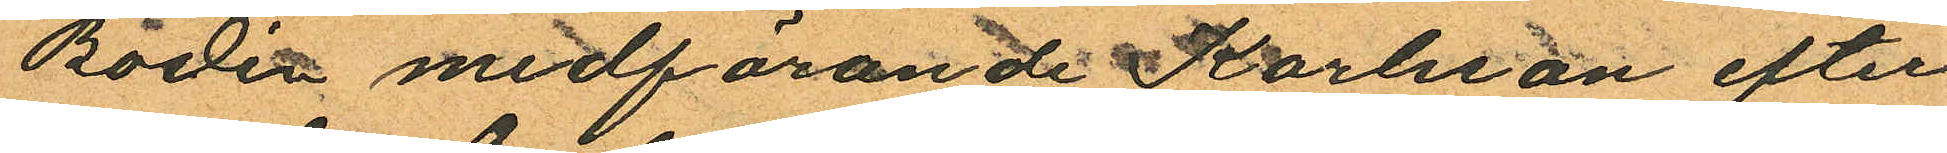Bodén medförande Karlsson efter
